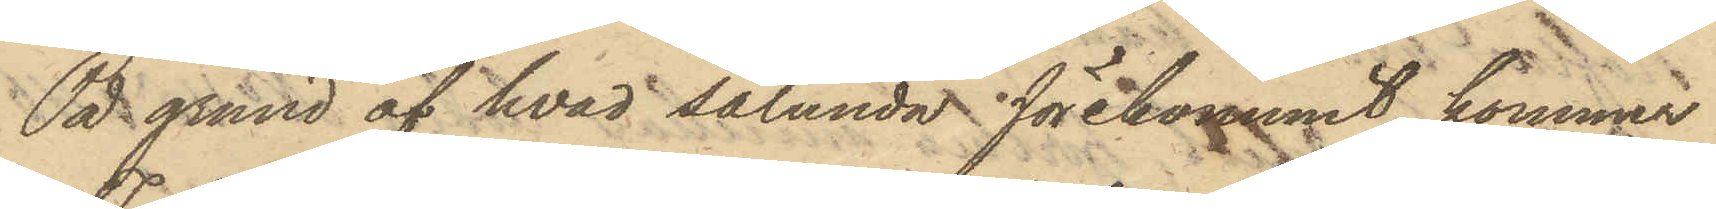På grund af hvad sålunda förekommit, kommer
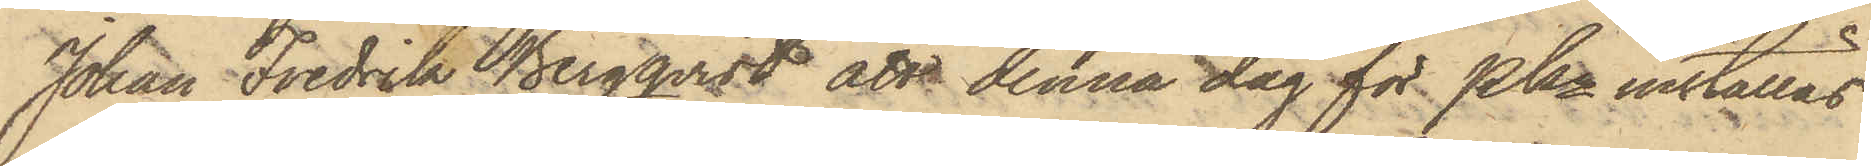Johan Fredrik Bergqvist att denna dag för PKn inställas.
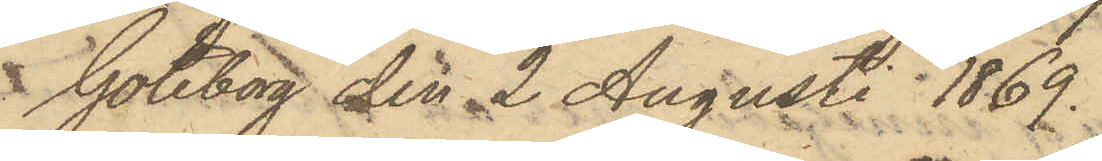Göteborg den 2 Augusti 1869.
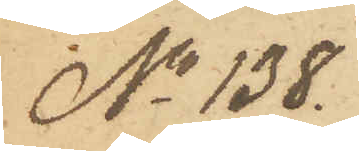No 138.
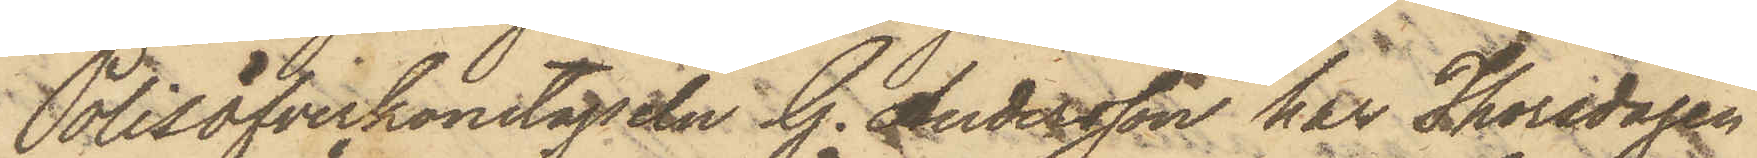Polisöfverkonstapeln G. Andersson har Thorsdagen
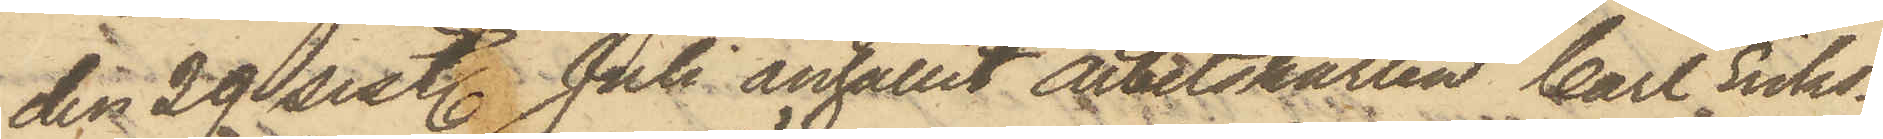den 29 sist. Juli anhållit arbetskarlen Carl Eriks¬
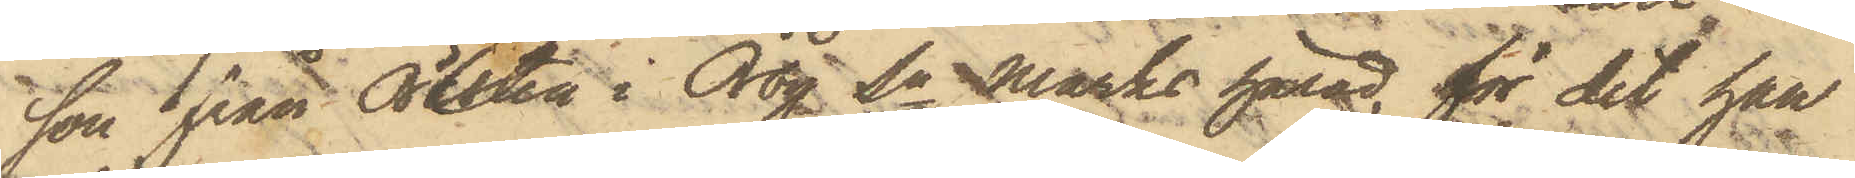son från Öresten i Örby Sn Marks härad, för det han
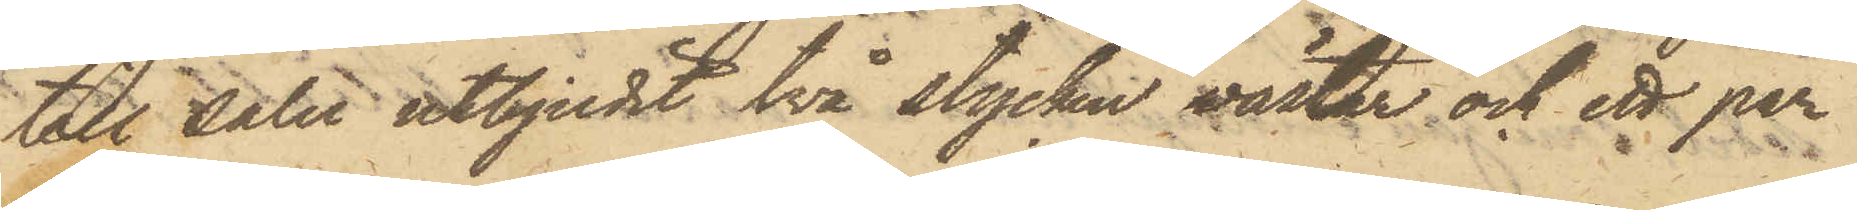till salu utbjudit två stycken västar och ett par
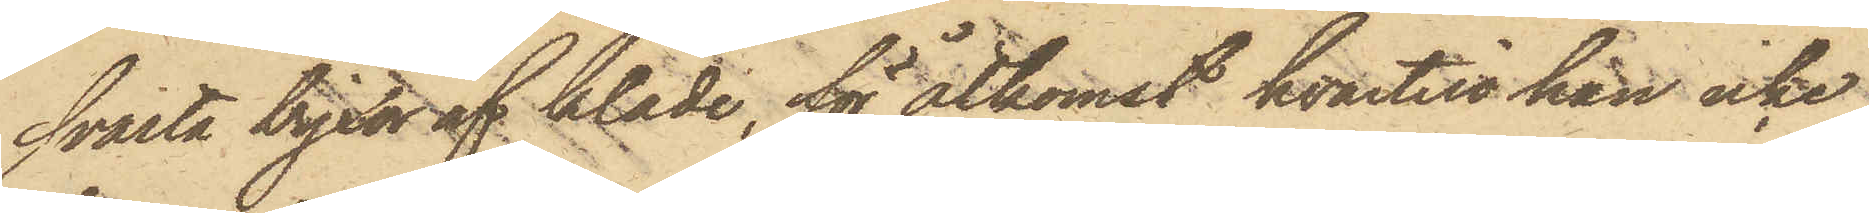svarta byxor af kläde, för åtkomst hvartill han icke
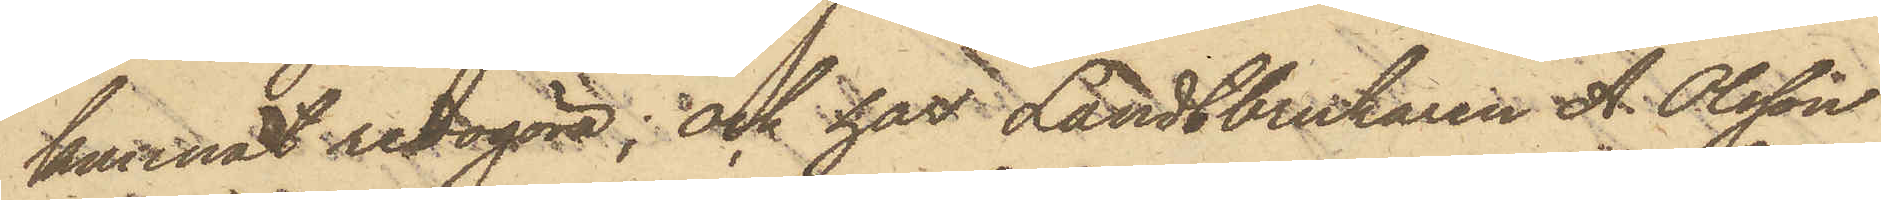kunnat redogöra; och har Landtbrukaren A. Olsson
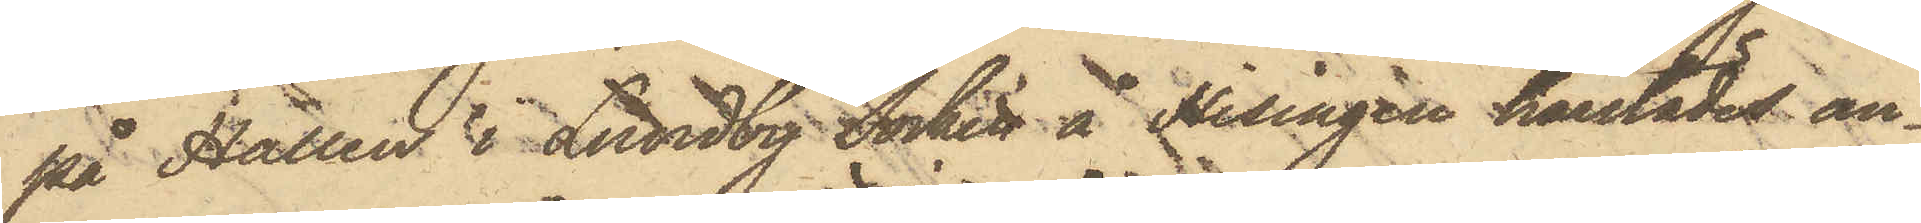på Hallen i Lundby Socken å Hisingen härstädes an¬
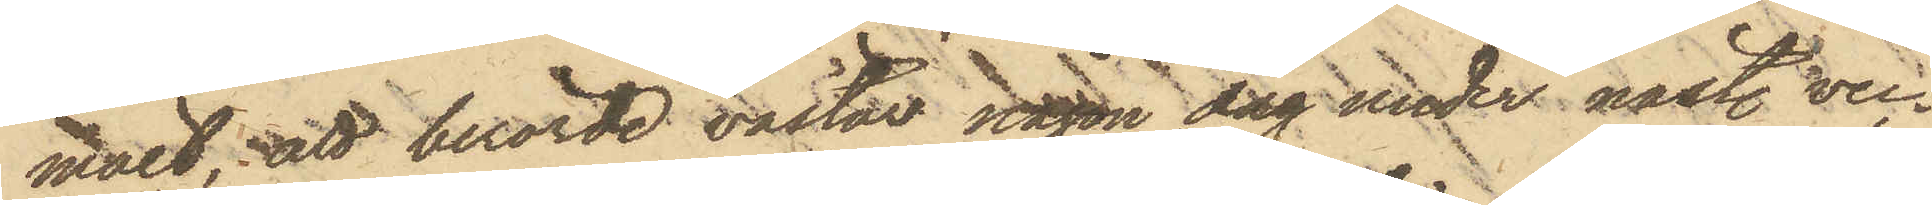mält; att berörde västar någon dag under nästl. vec¬
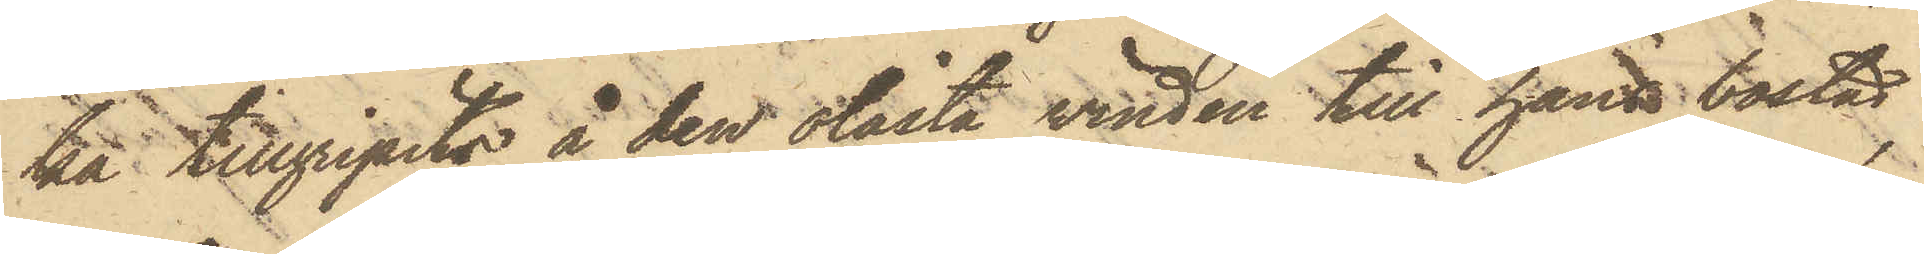ka tillgripits å den olåsta vinden till hans bostad,
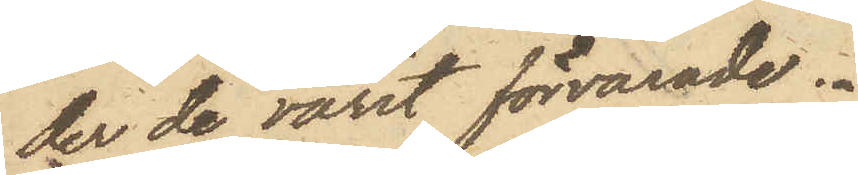der de varit förvarade.
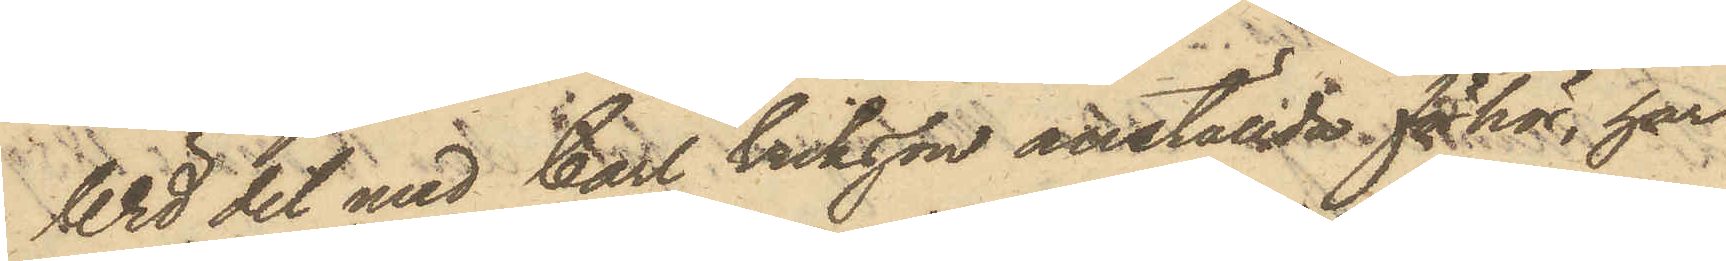Wid det med Carl Eriksson anställda förhör, har
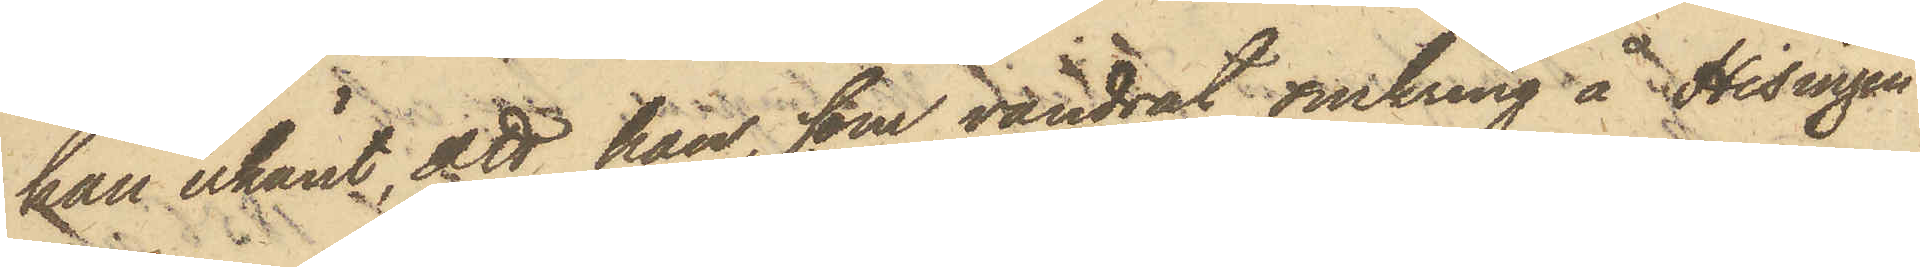han erkänt, att han, som vandrat omkring å Hisingen
